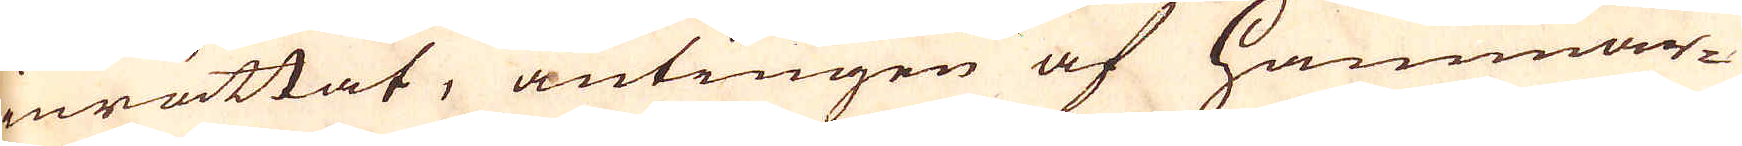inrättat, antingen af Hammar-
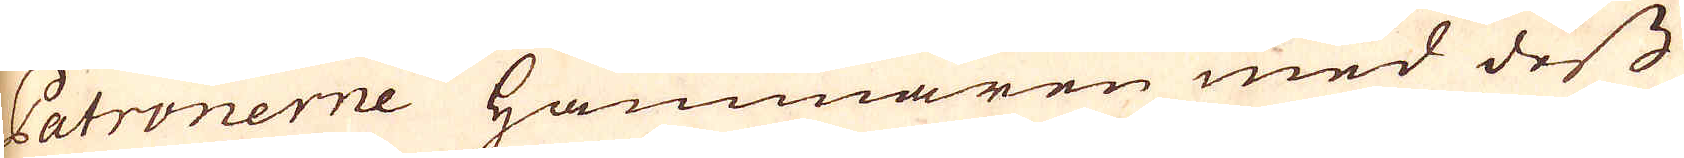Patronerne Hammaren med dess
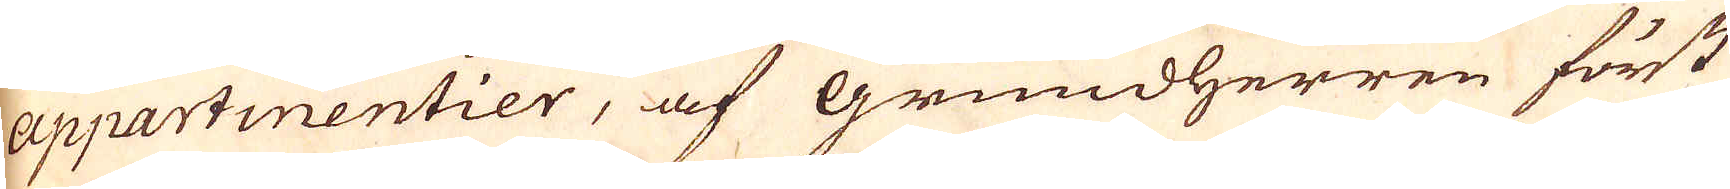appartinentier, af Grundherren först
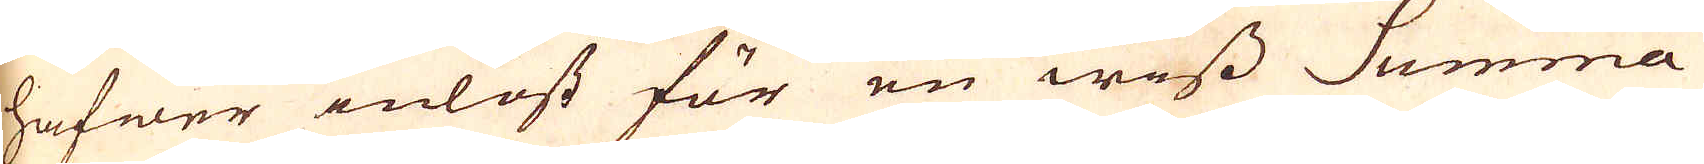hafwer inlöst för en wiss Summa
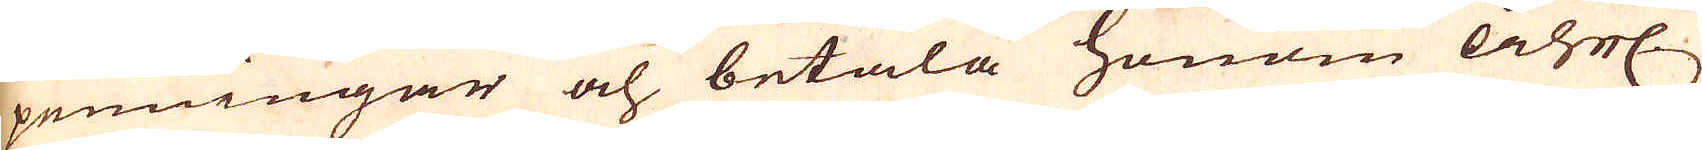penningar och betala honom åhrl.
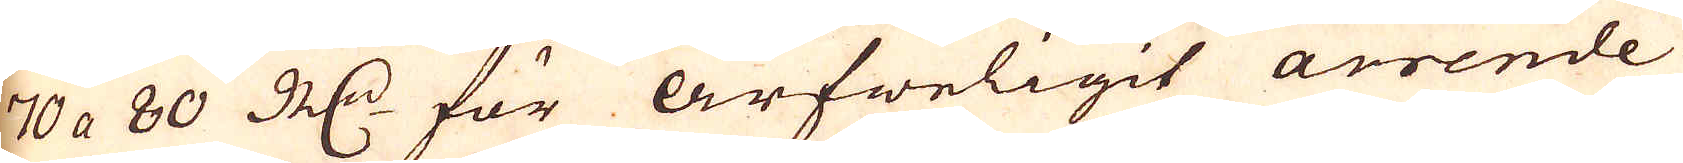70 a 80 R:dr för arfweligit arrende
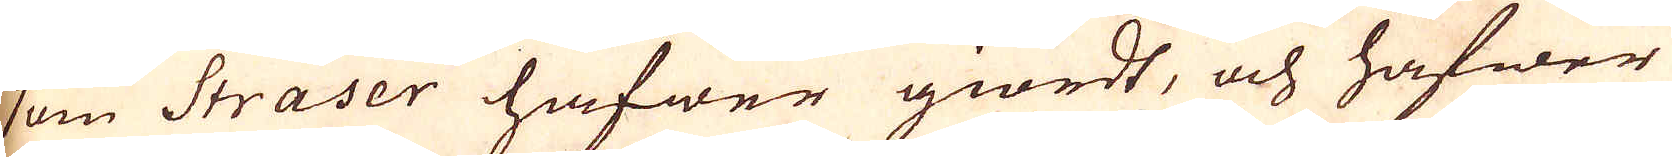som Straser hafwer giordt, och hafwer
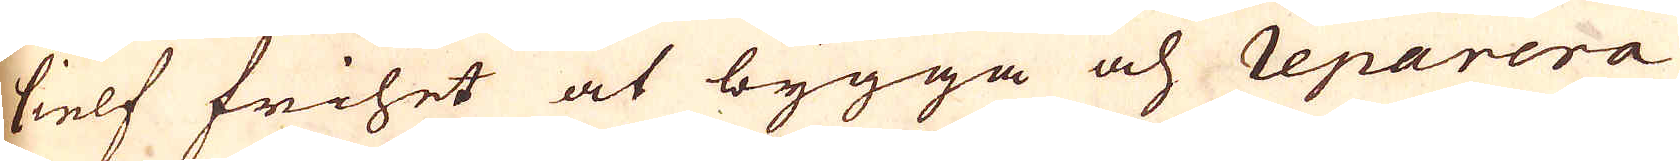sielf frihet at bygga och reparera
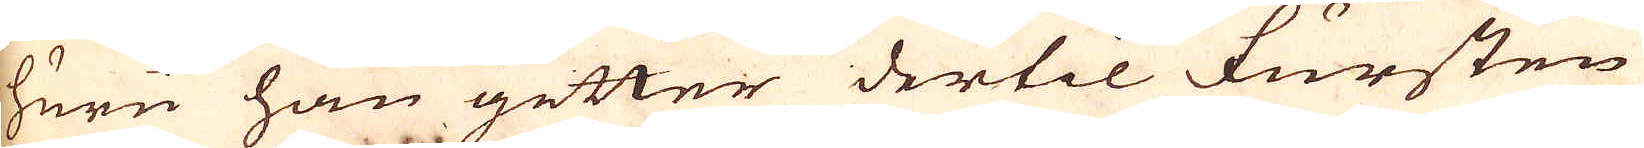huru han gitter dertil Fursten
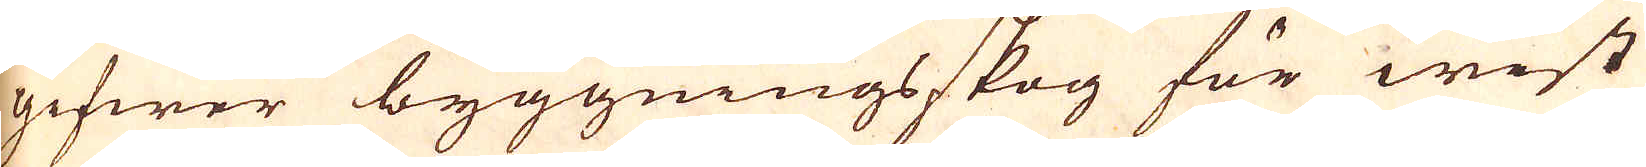gifwer byggningsskog för wist
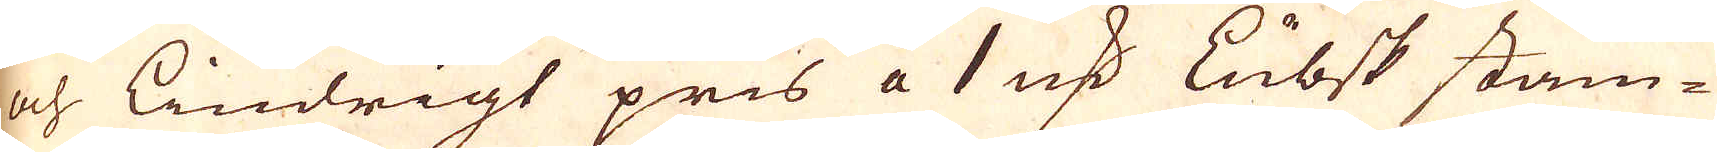och lindrigt pris a 1 marker Lübsk stam-
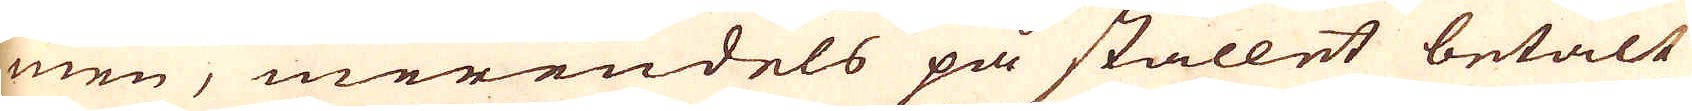men, merendels på stället betalt
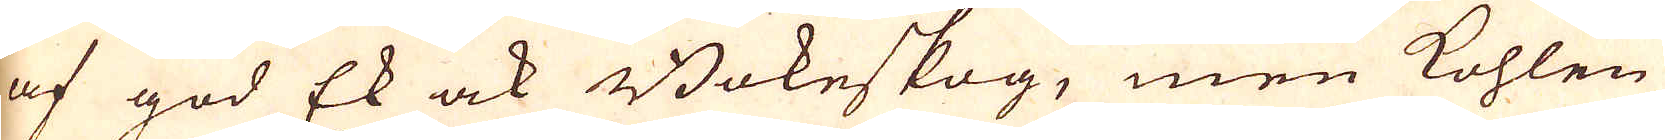af god Ek ock Bokeskog, men kohlen
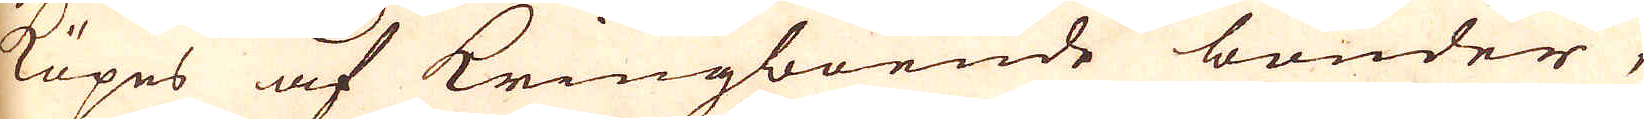köpes af Kringboende bönder,
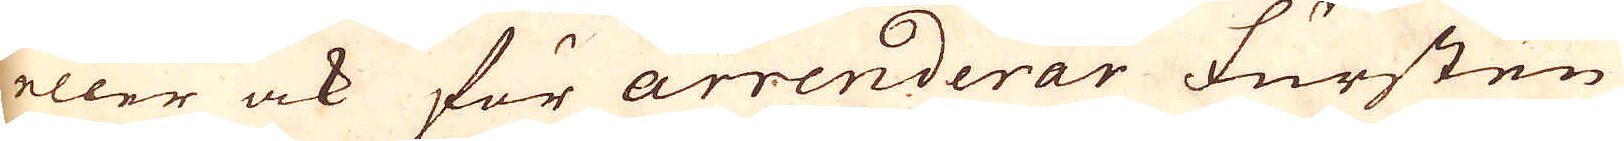eller ock för arrenderar Fursten
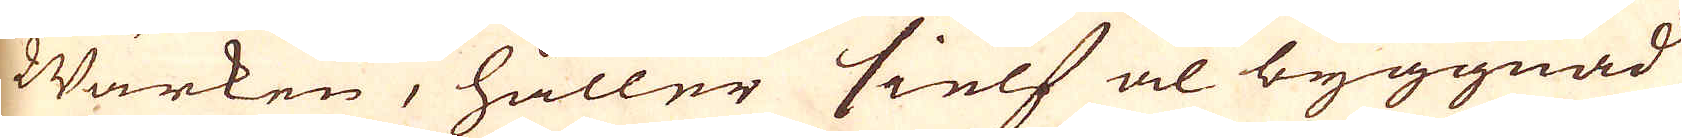Wärken, håller sielf al byggnad
